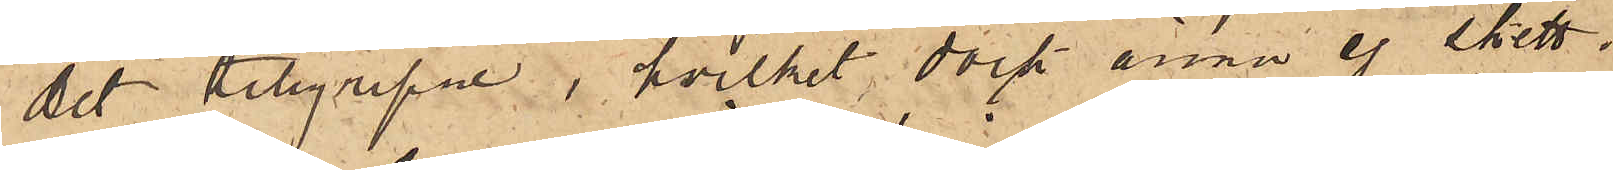det tillgripne, hvilket dock ännu ej skett;
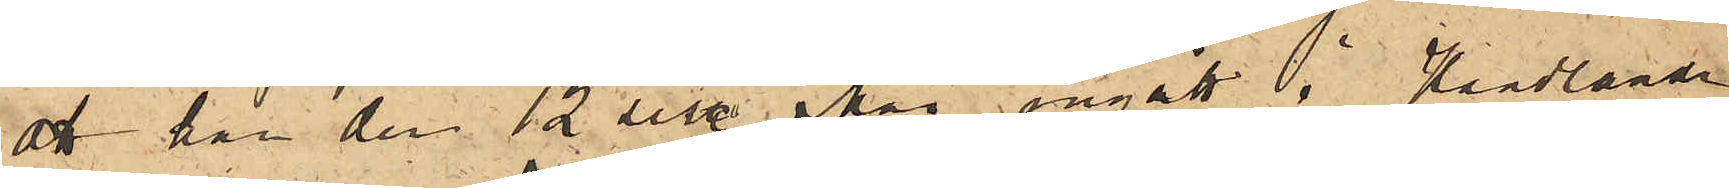att han den 12 sist. Mai ingått i Handlanden
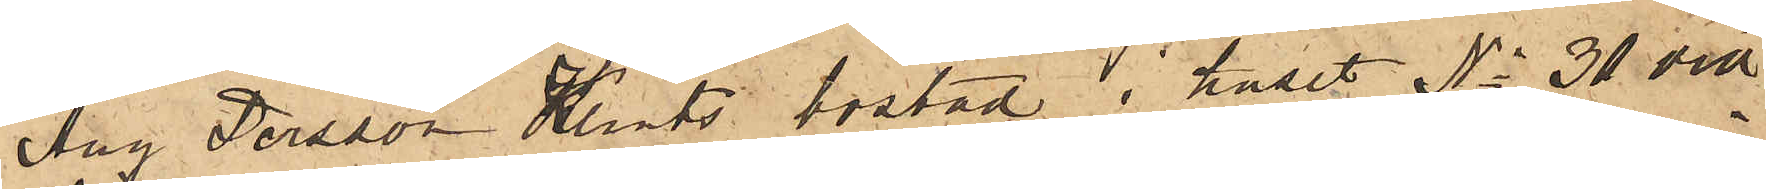Aug Persson Klints bostad i huset No 31 vid
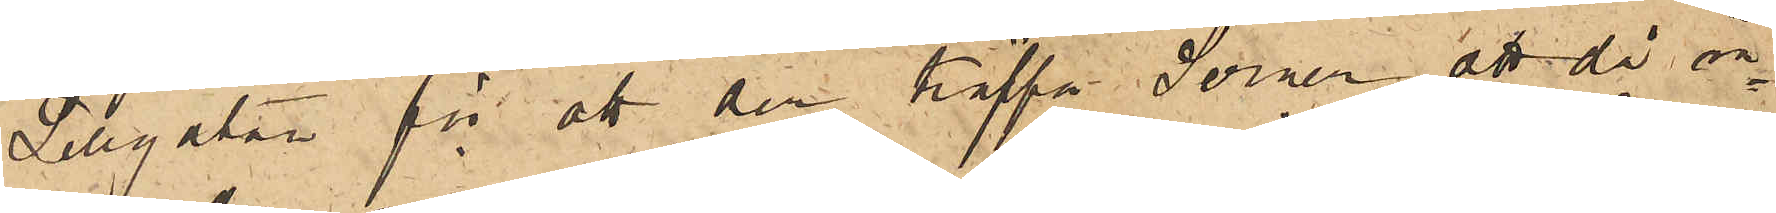Sillgatan för att der träffa Serner; att då in¬
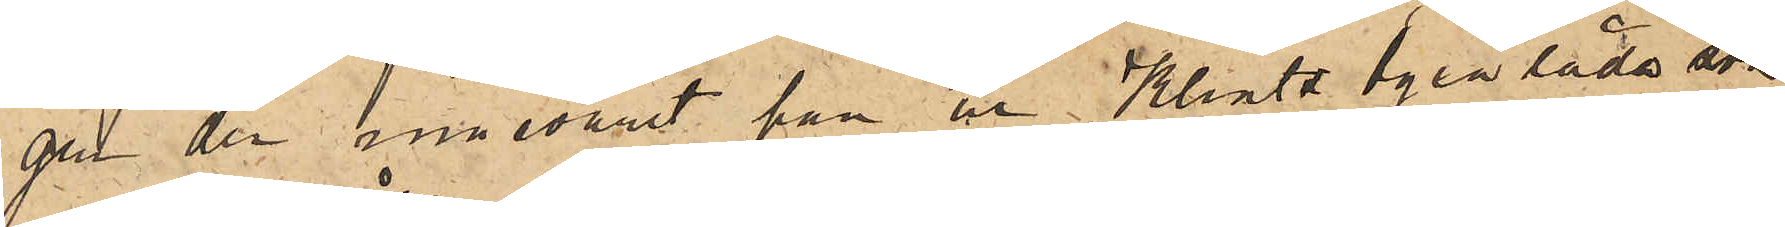gen der innevarit han ur Klints byrålåda som
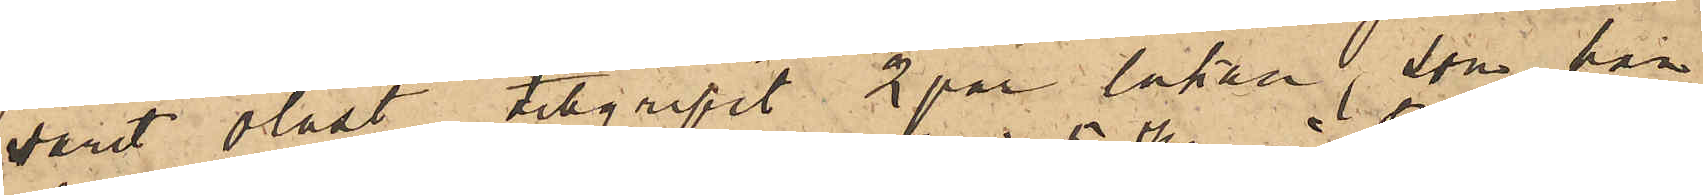varit olåst tillgripit 2 par lakan, som han
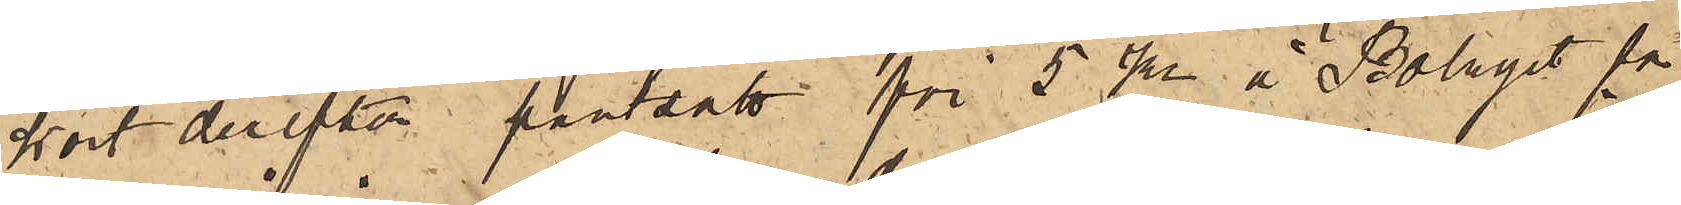kort derefter pantsatt för 5 kr å Bolaget för
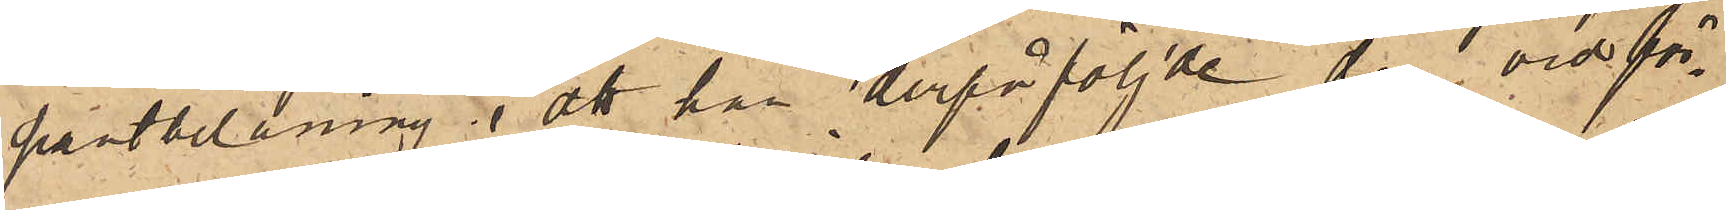pantbelåning; att han derpåföljde dag vid för¬
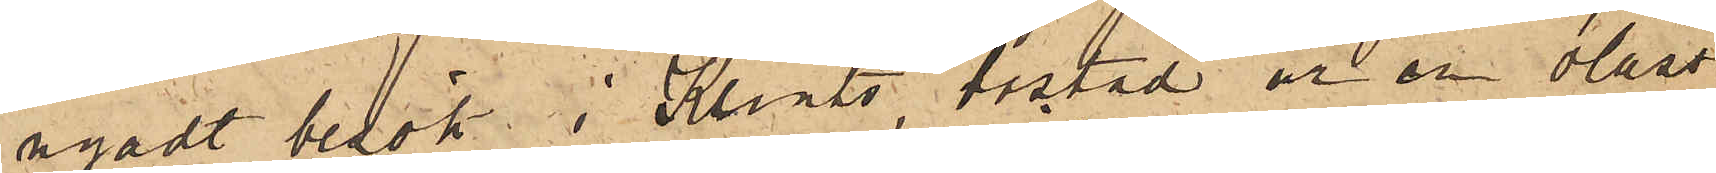nyadt besök i Klints bostad ur en olåst
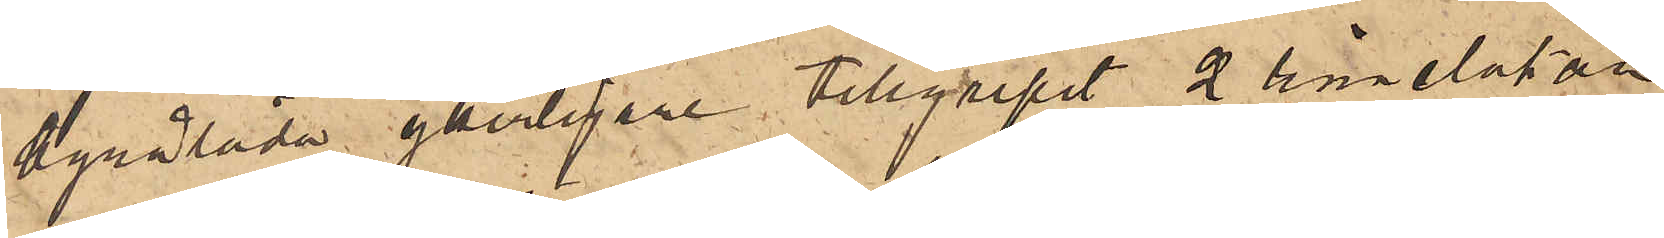byrålåda ytterligare tillgripit 2 linnelakan
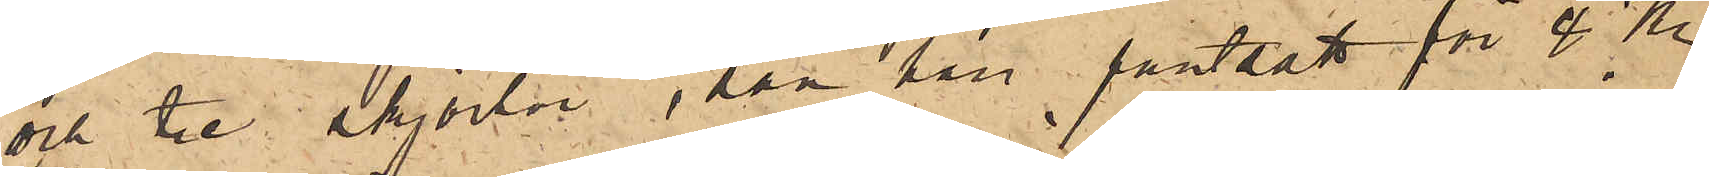och tre skjortor, som han pantsatt för 4 Kr
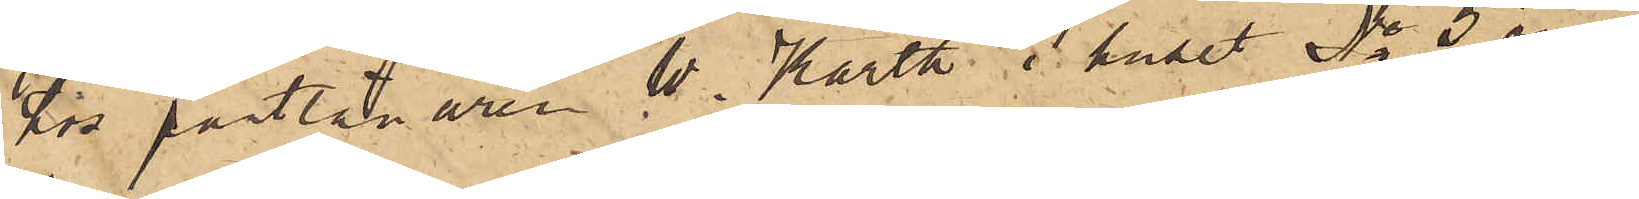hos pantlånaren W. Karth i huset No 5 vid
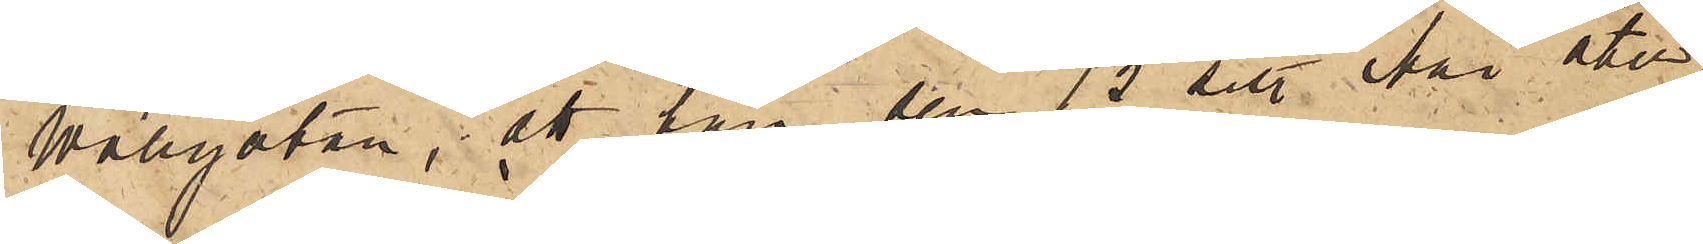Wallgatan; att han den 15 sist. Mai åter
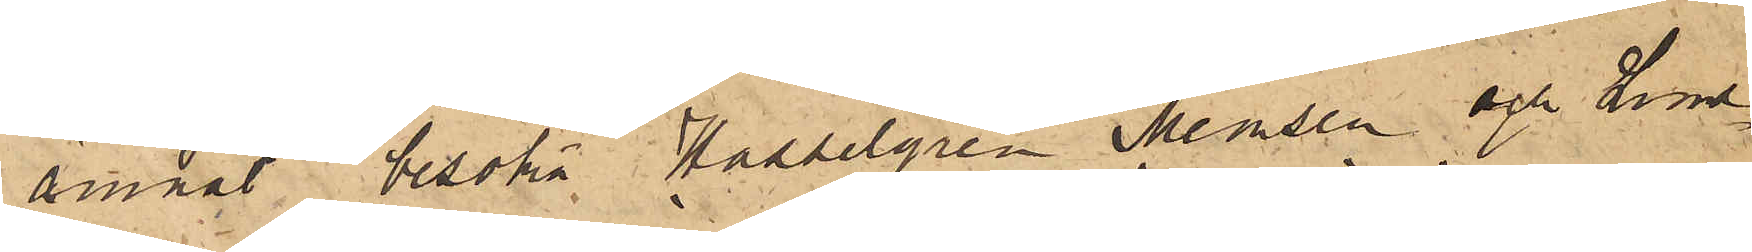ämnat besöka Hasselgren Memsen och Lund¬
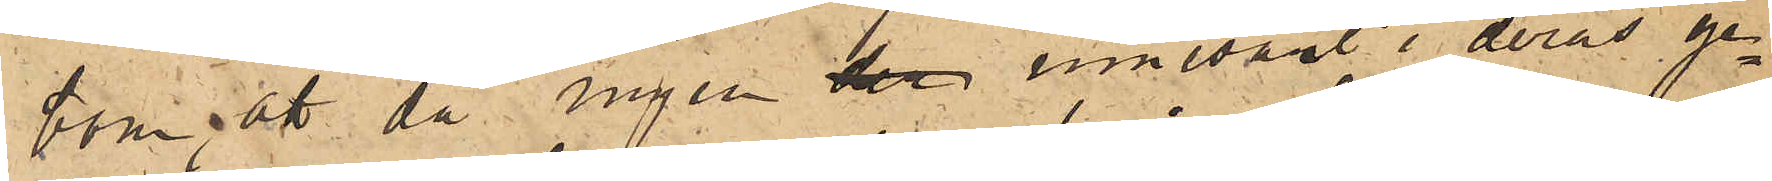bom, att då ingen der innevarit i deras ge¬
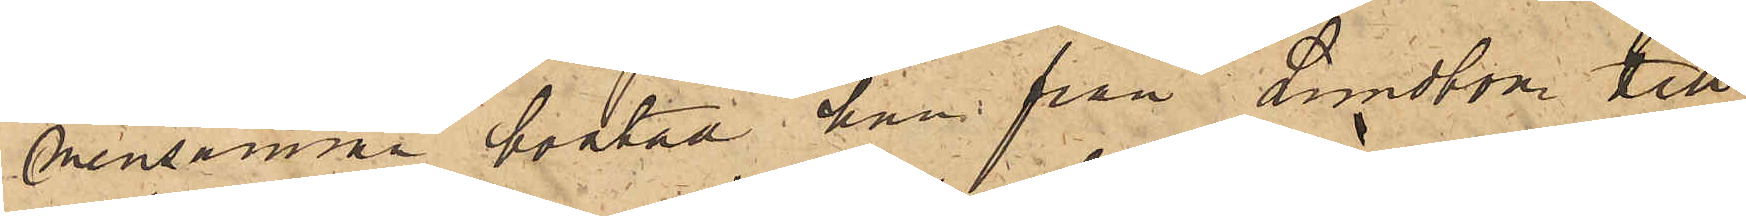mensamma bostad han från Lundbom till¬
